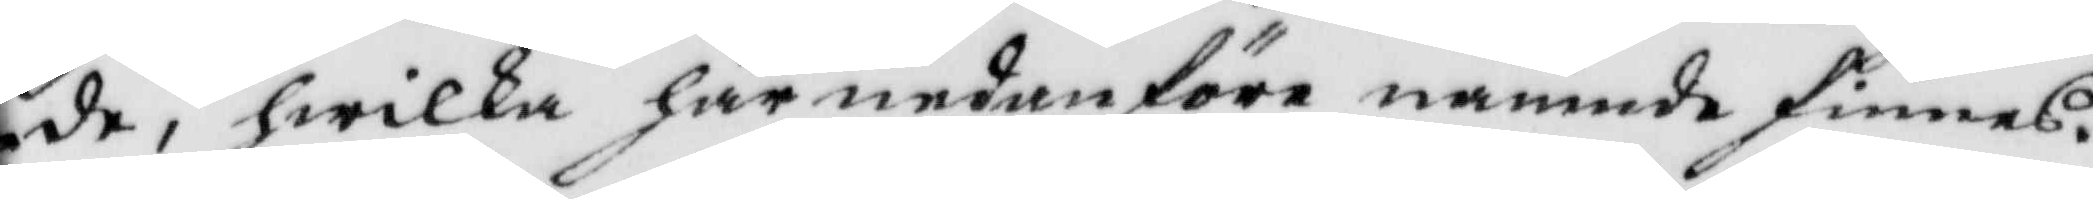de, hwilka härnedanföre nämnde finnes.
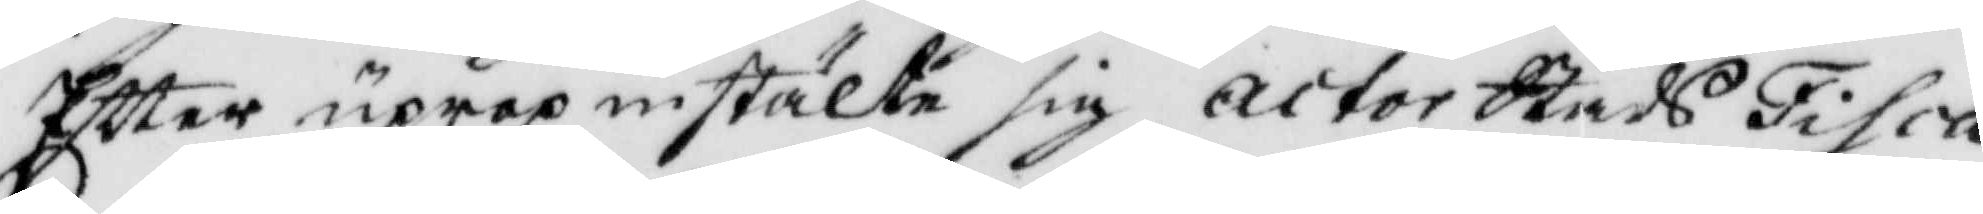Eftter uppro instälte sig actor StadsFisca¬
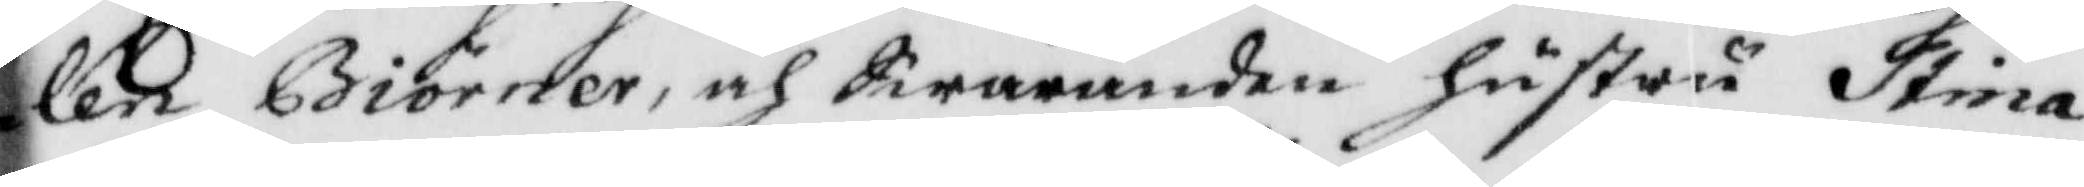len Biörner, och Swaranden hustru Stina
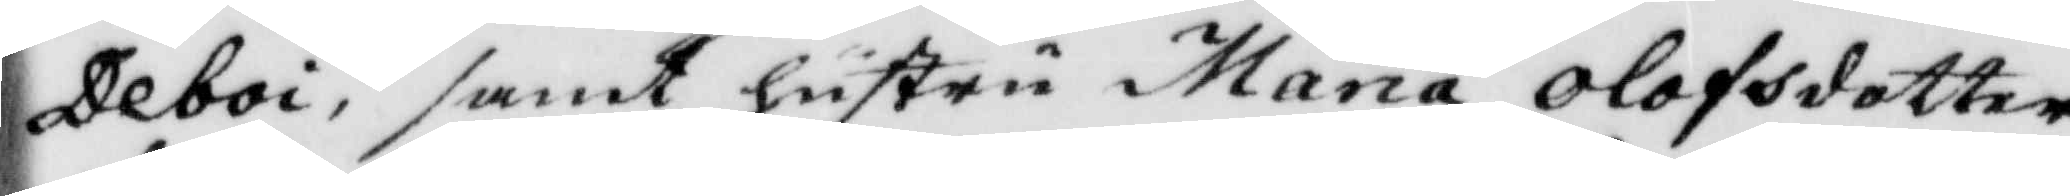Deboi, samt hustru Maria Olofsdotter
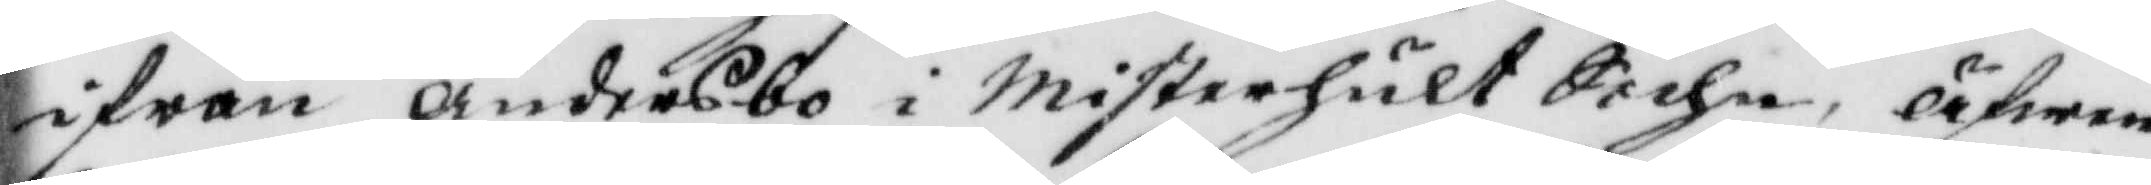ifrån andersbo i Misterhult Sochn, äfwen¬
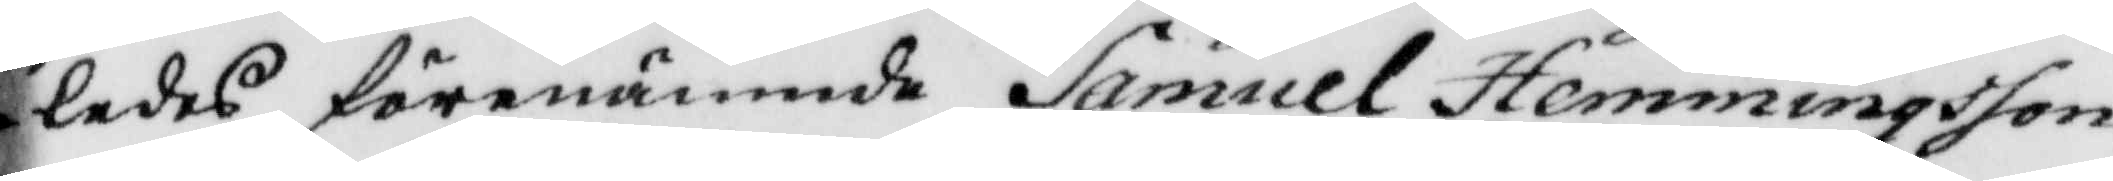ledes förenämnde Samuel Hemmingsson
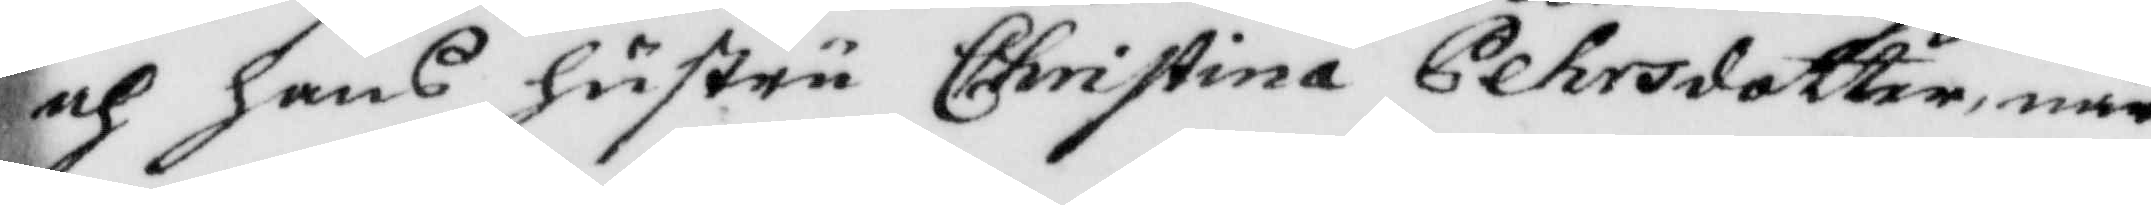och hans hustru Christina Pehrsdotter, när¬
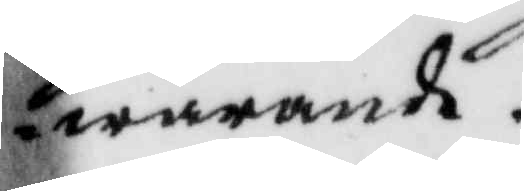warande.
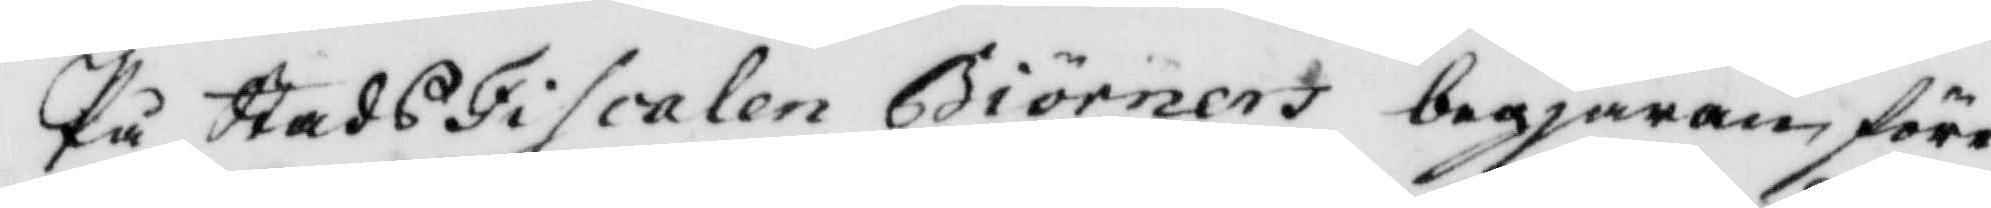På StadsFiscalen Biörners begjäran före¬
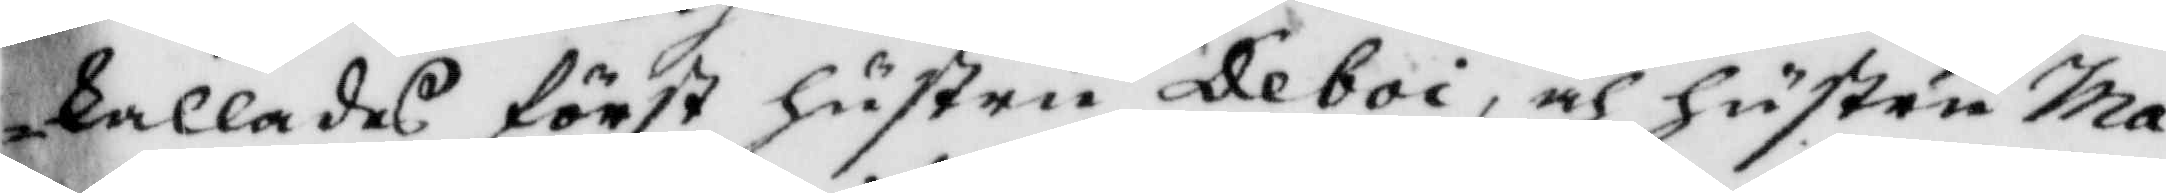kallade först hustru Deboi, och hustru Ma¬
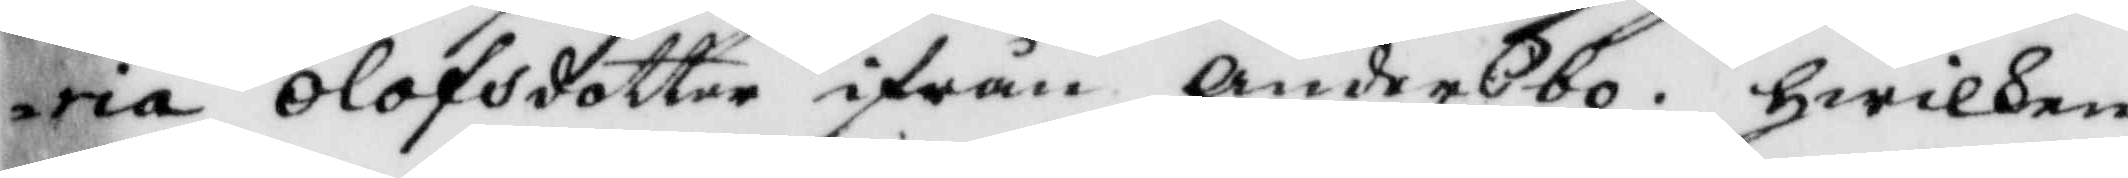ria Olofsdotter ifrån andersbo, hwilken
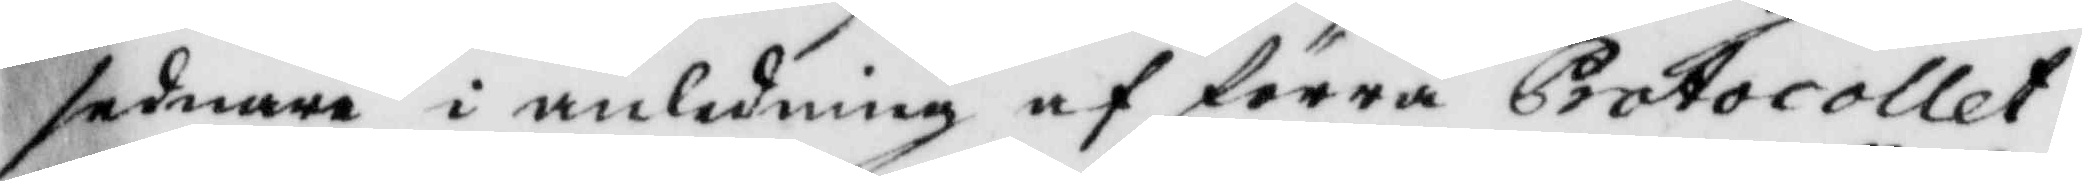sednare i anledning af förra Protocollet,
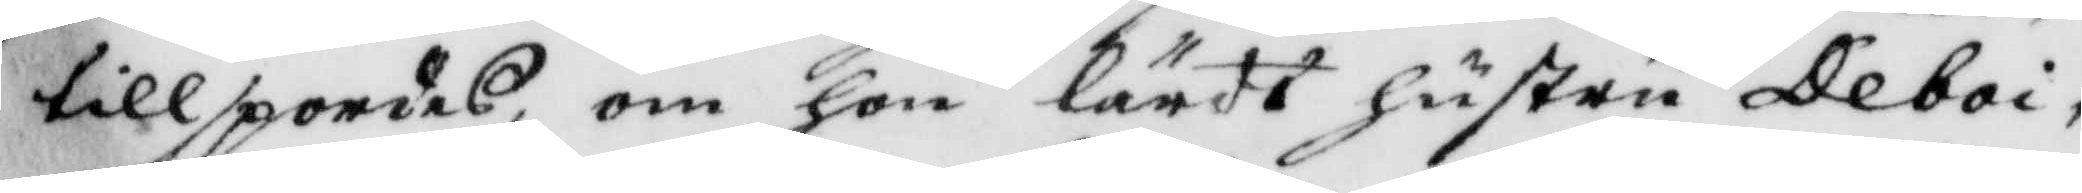tillspordes om hon lärdt hustru Deboi
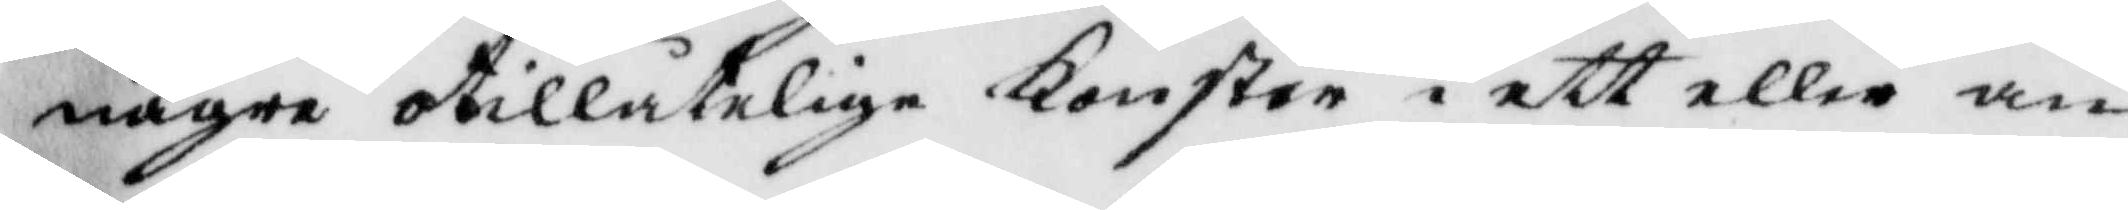någre otillåtelige Konster i ett eller an¬
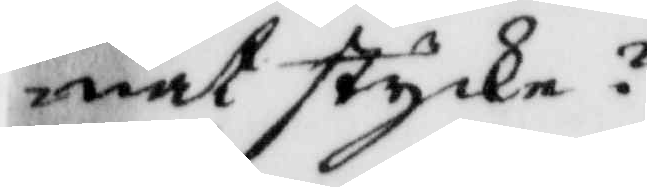nat stycke?
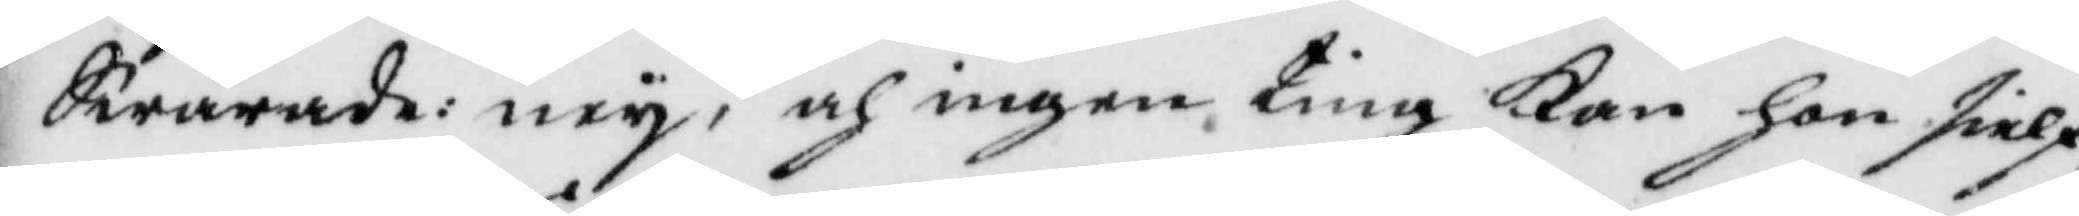Swarande: ney, och ingen ting Kan hon sielf
